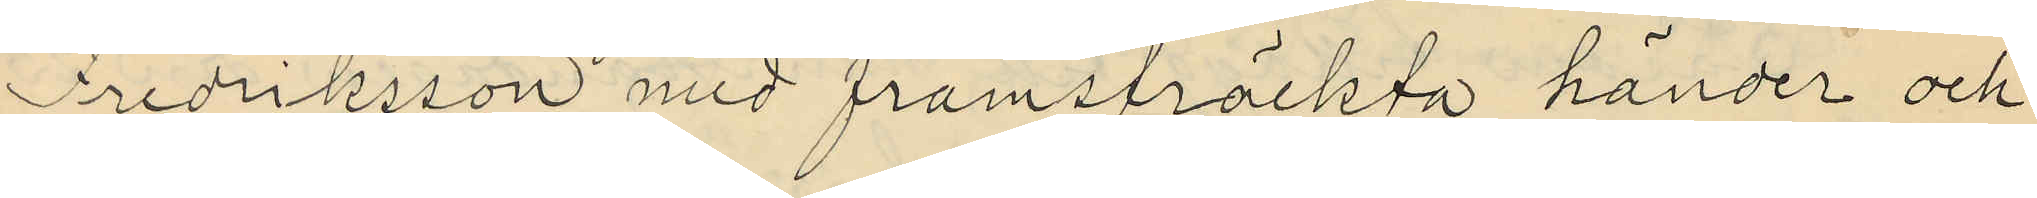Fredriksson med framsträckta händer och
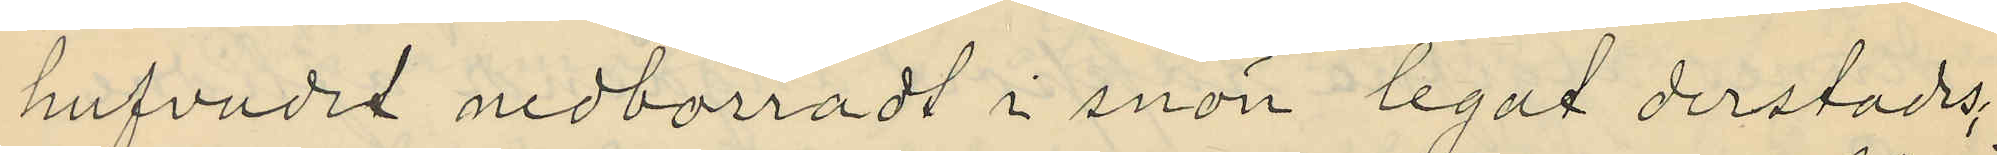hufvudet nedborradt i snön legat derstades
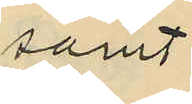samt
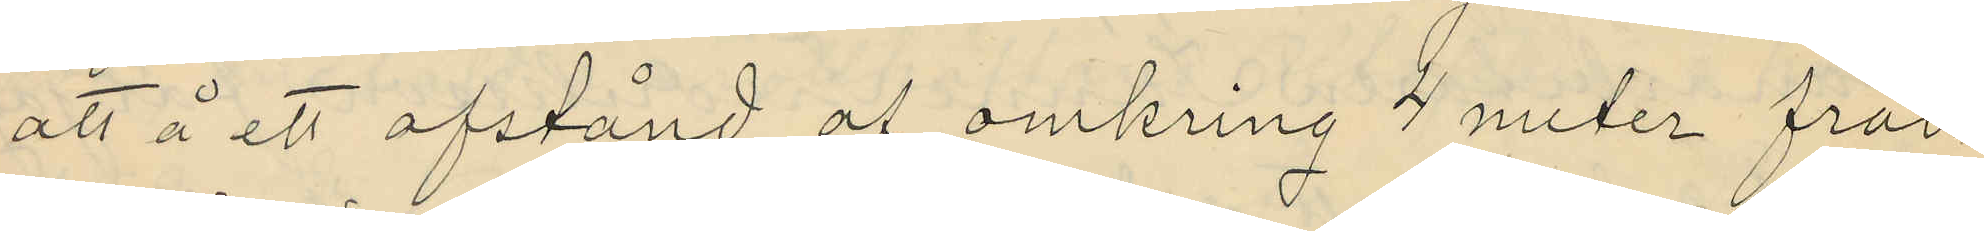att å ett afstånd af omkring 4 meter från
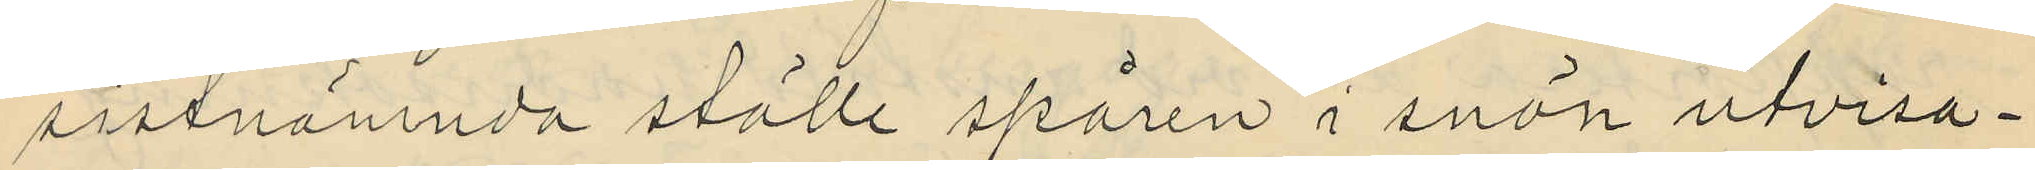sistnämnda ställe spåren i snön utvisa¬
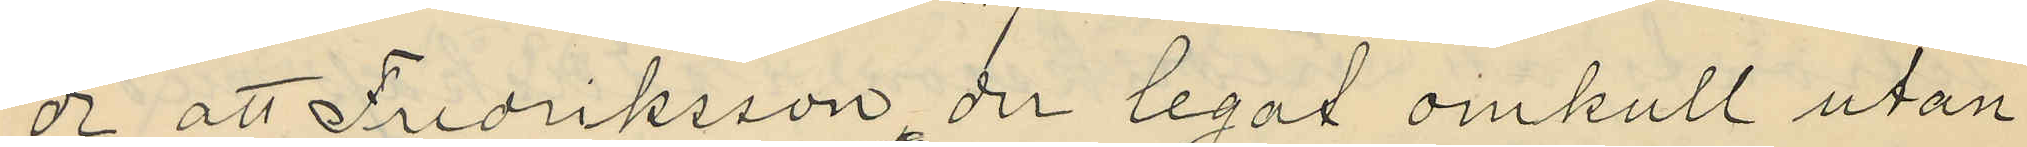de att Fredriksson der legat omkull utan
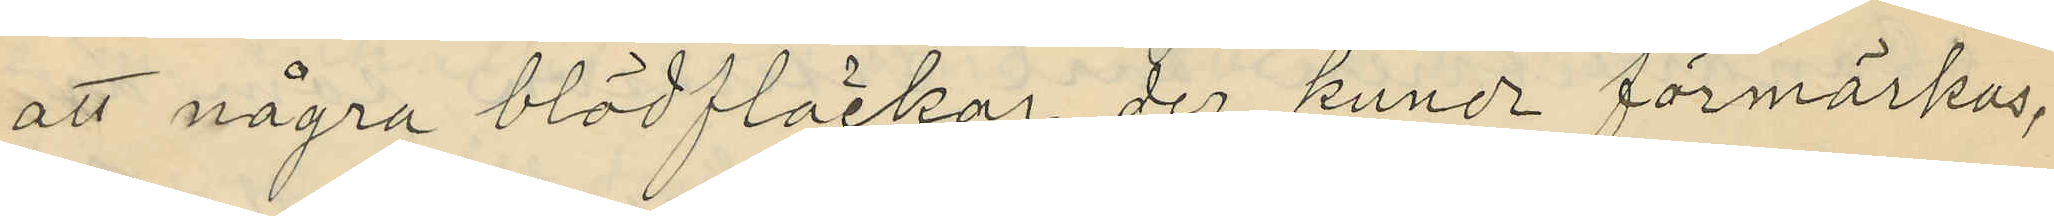att några blödfläckar der kunde förmärkas,
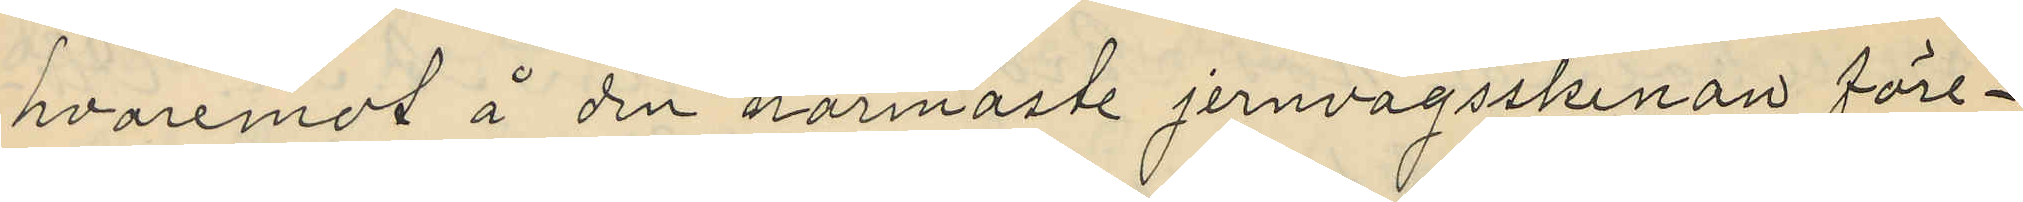hvaremot å den närmaste jernvägsskenan före¬
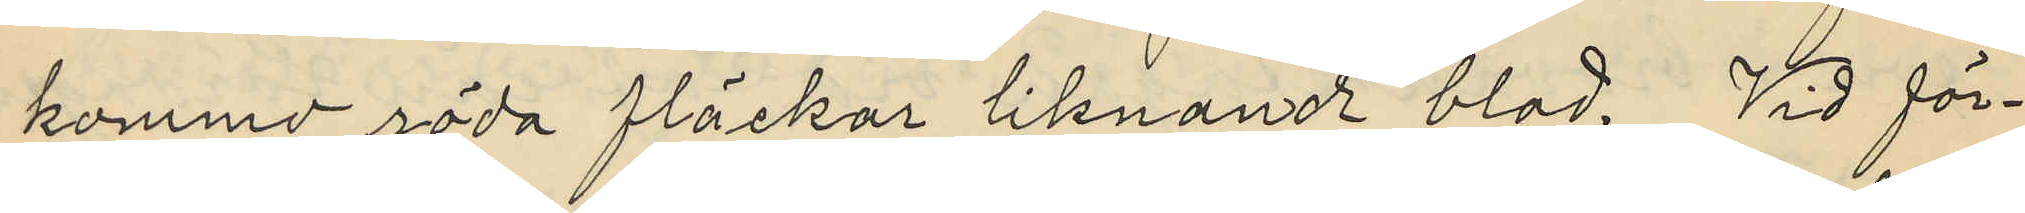kommo röda fläckar liknande blod. Vid för¬
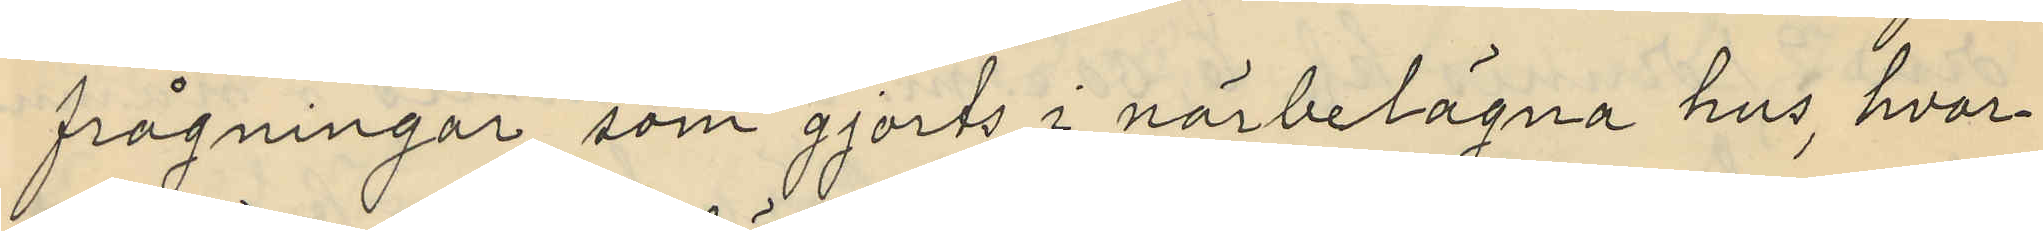frågningar, som gjorts i närbelägna hus, hvar¬
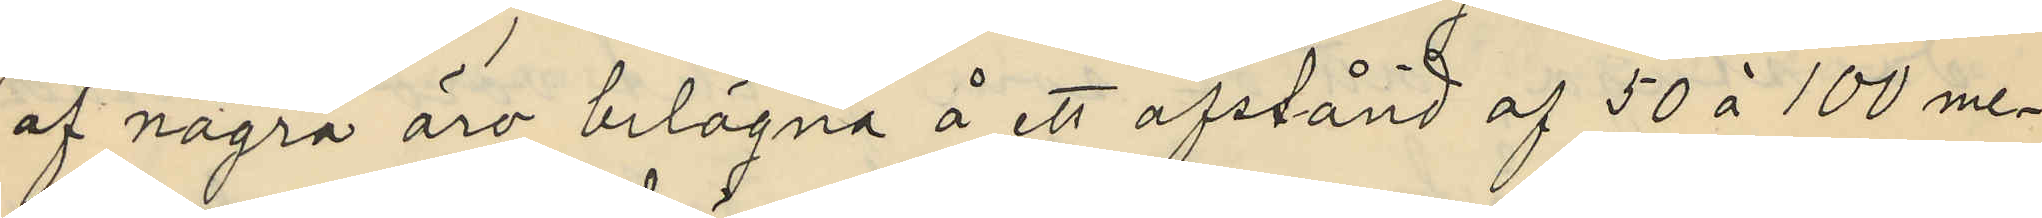af några äro belägna å ett afstånd af 50 à 100 me¬
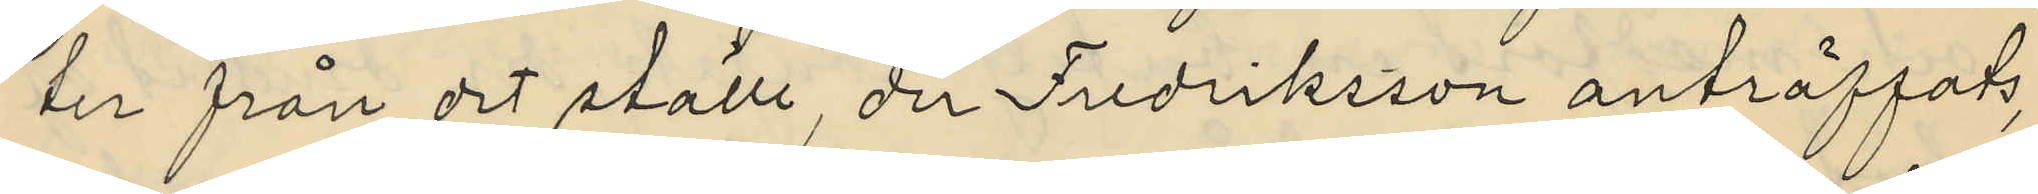ter från det ställe der Fredriksson anträffats,
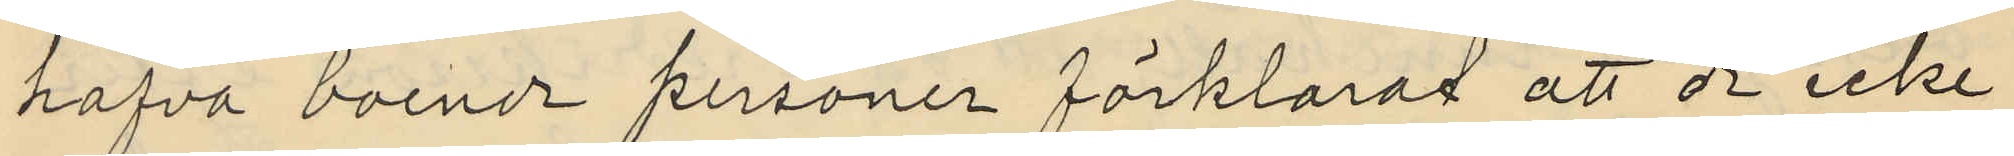hafva boende personer förklarat att de icke
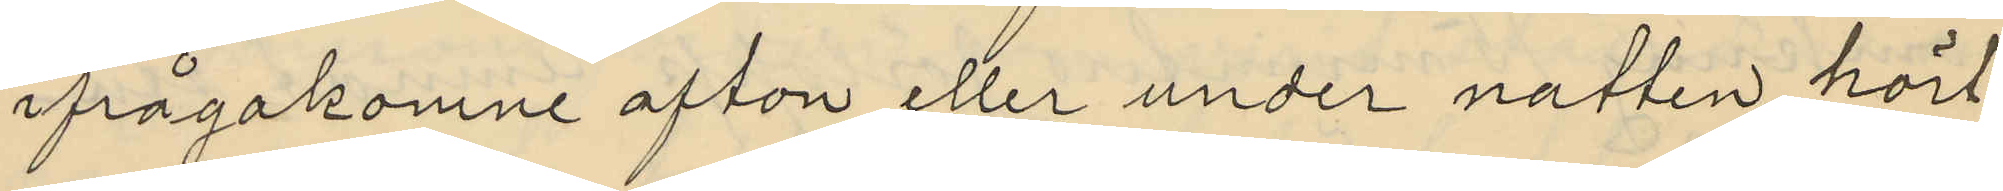ifrågakomne afton eller under natten hört
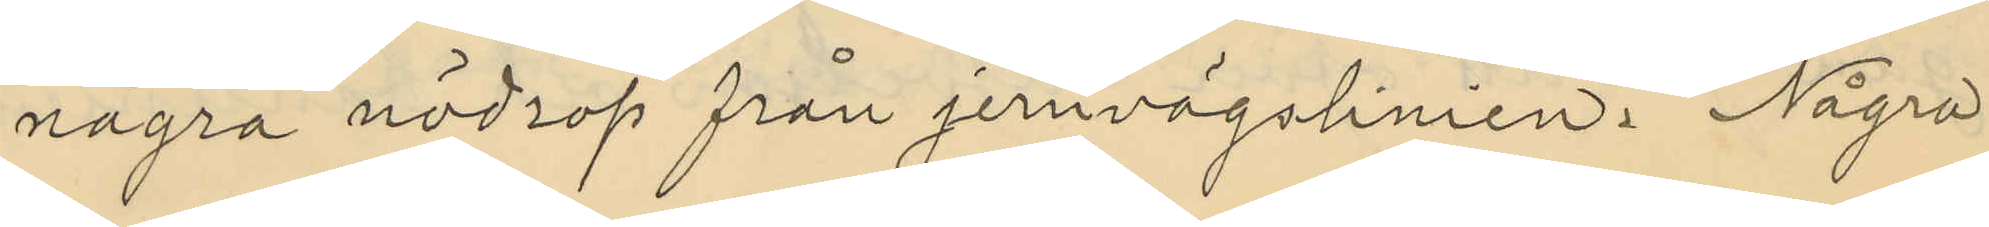några nödrop från jernvägslinien. Några
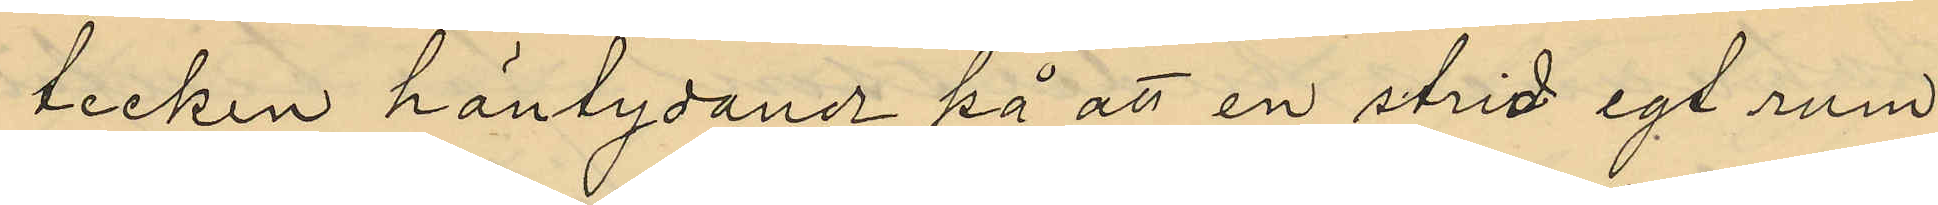tecken häntydande på att en strid egt rum
